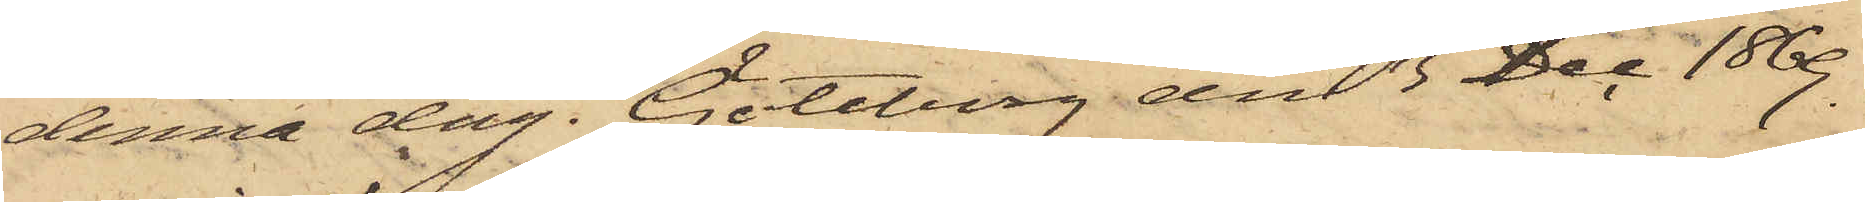denna dag. Göteborg den 3 Dec 1869.
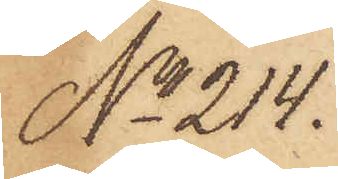No 214.
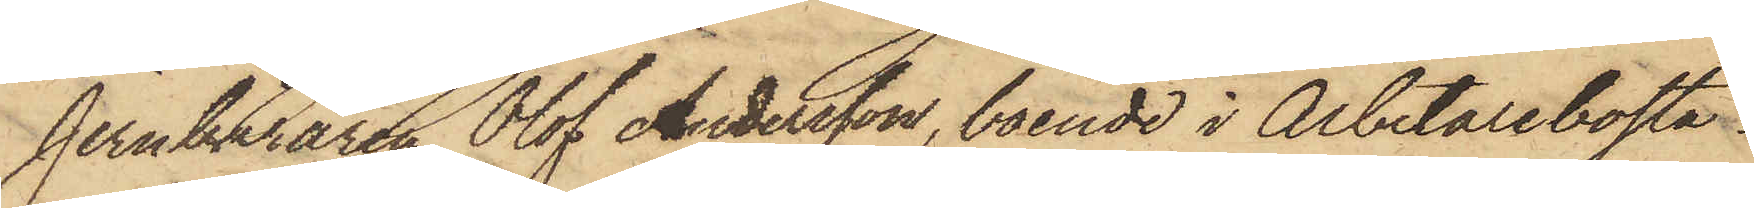Jernbäraren Olof Andersson, boende i Arbetarebostä¬
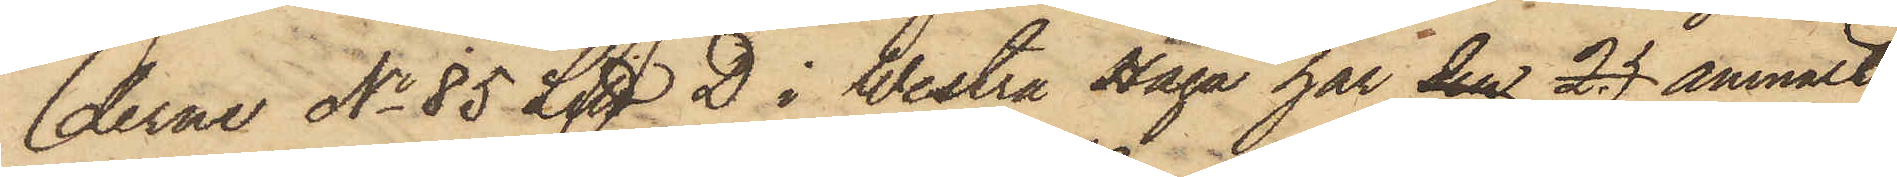derne No 85 Litt D i Westra Haga har den 25 anmält,
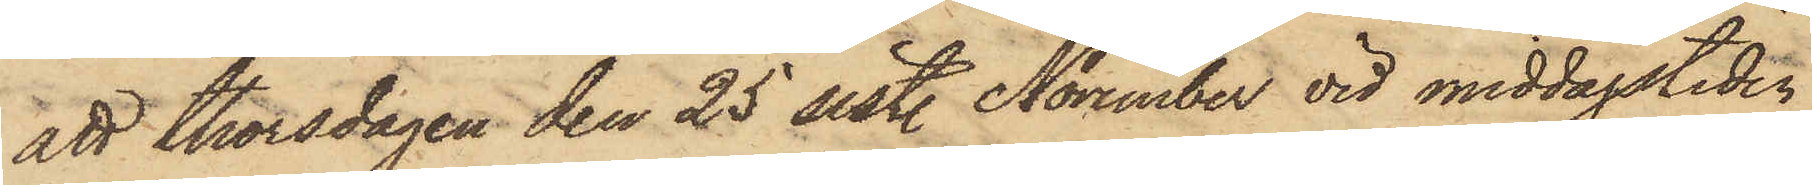att thorsdagen den 25 sistl. November vid middagstiden
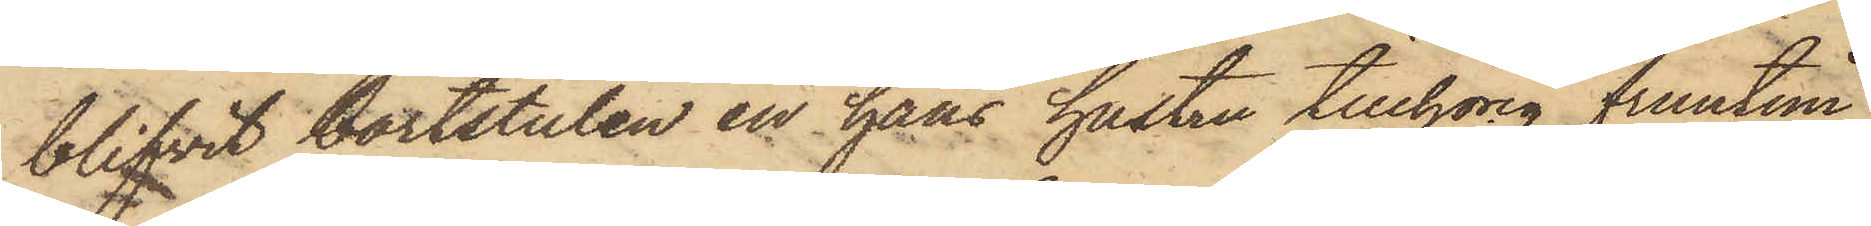blifvit bortstulen en hans hustru tillhörig fruntim¬
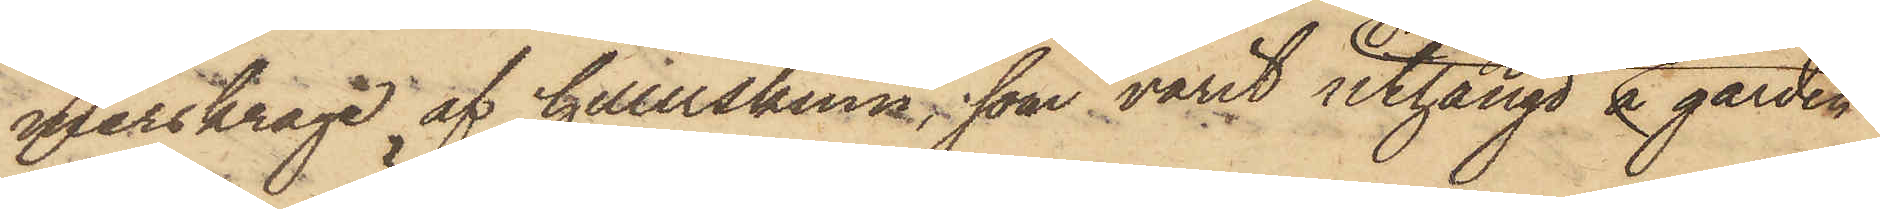merskrage af hillerskinn, som varit uthängd å gården
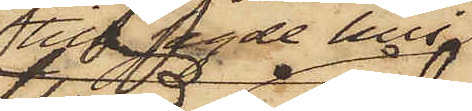till sagde hus
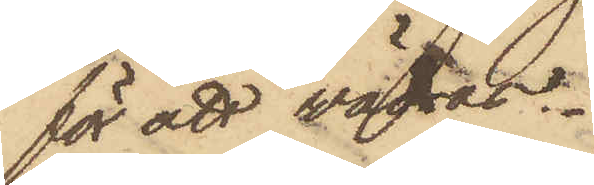för att vädras.
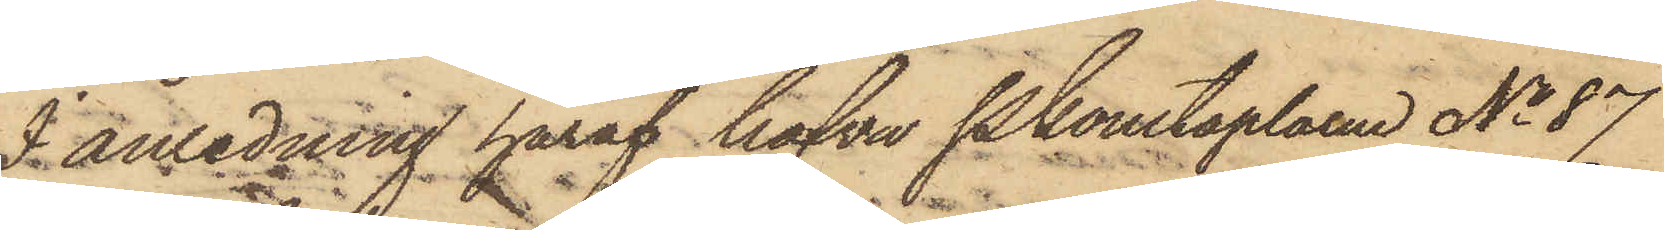I anledning häraf hafva Pkonstaplarne No 87
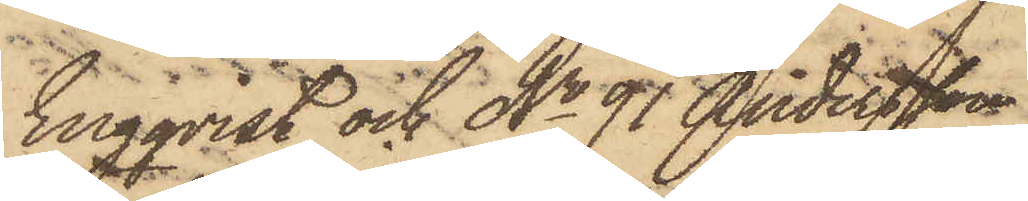Engqvist och No 91 Andersson
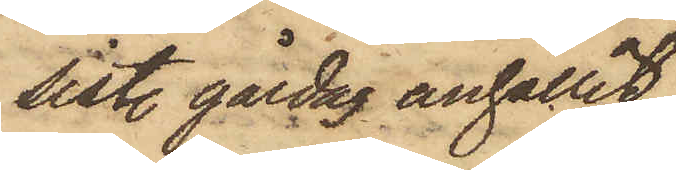sist. gårdag anhållit
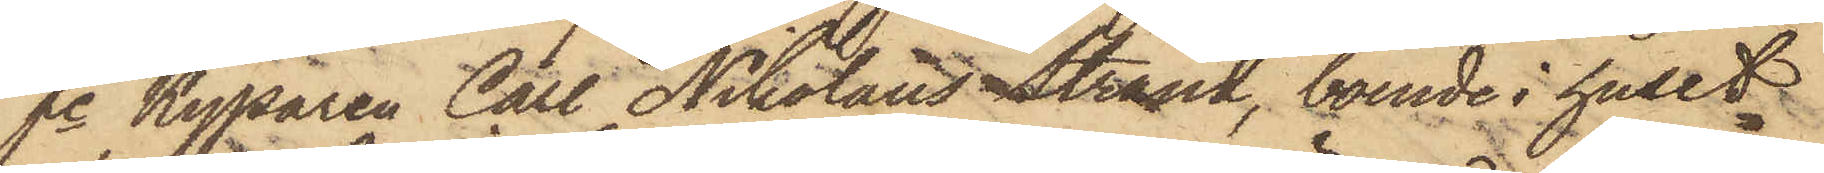fe Kyparen Carl Nikolaus Strand, boende i huset
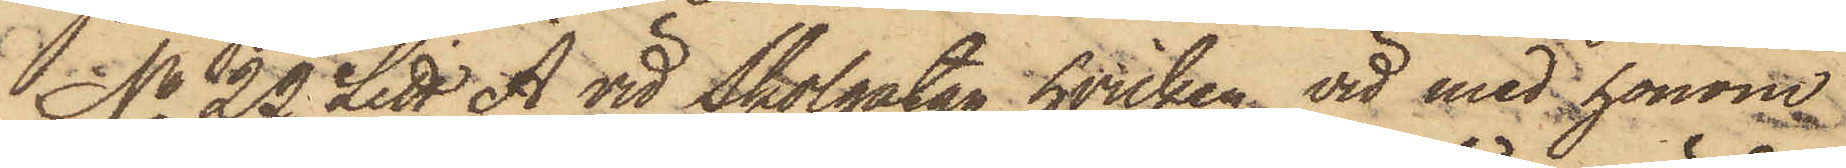No 22 Litt A vid Skolgatan, hvilken vid med honom
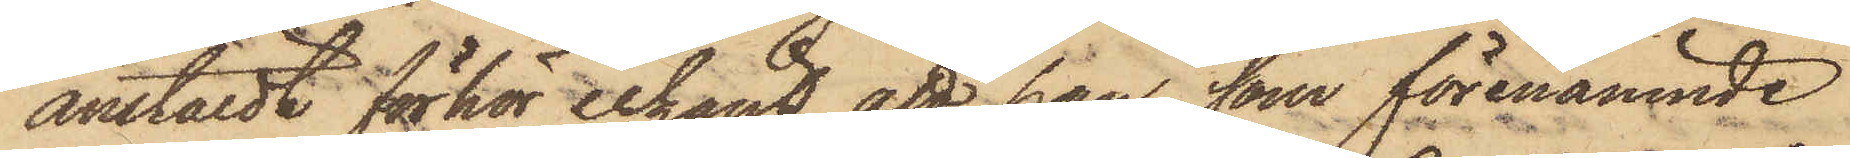anstäldt förhör erkänt, att han, som förenämnde
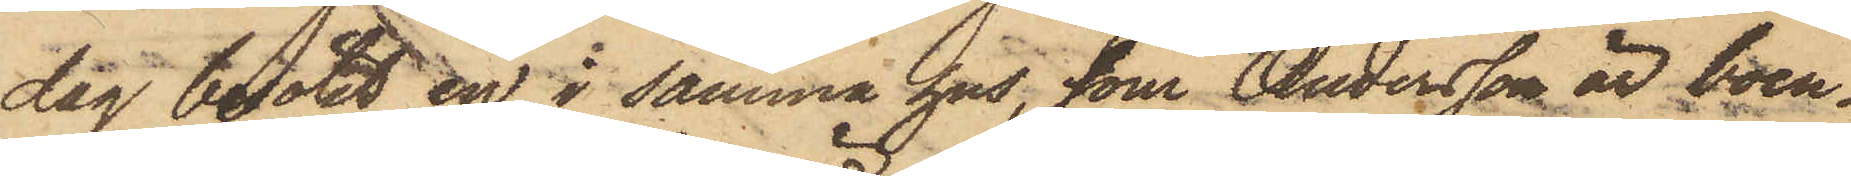dag besökt en i samma hus, som Andersson är boen¬
